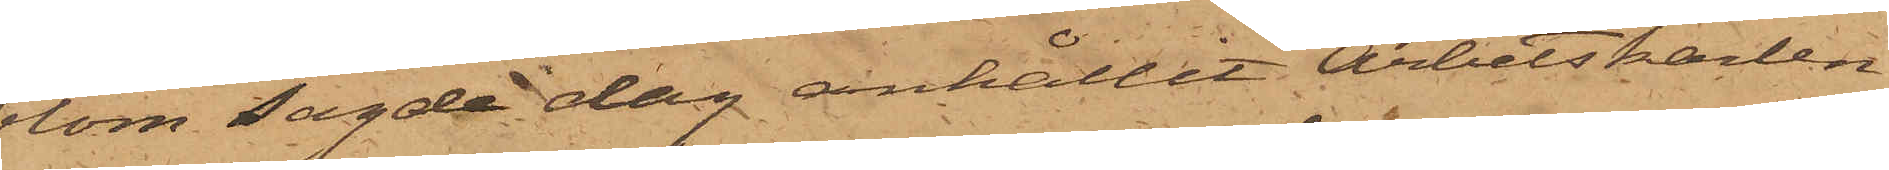blom sagde dag anhållit Arbetskarlen
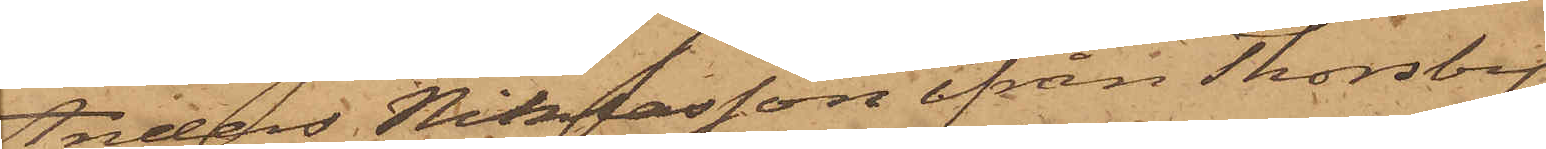Anders Niklasson ifrån Thorsby
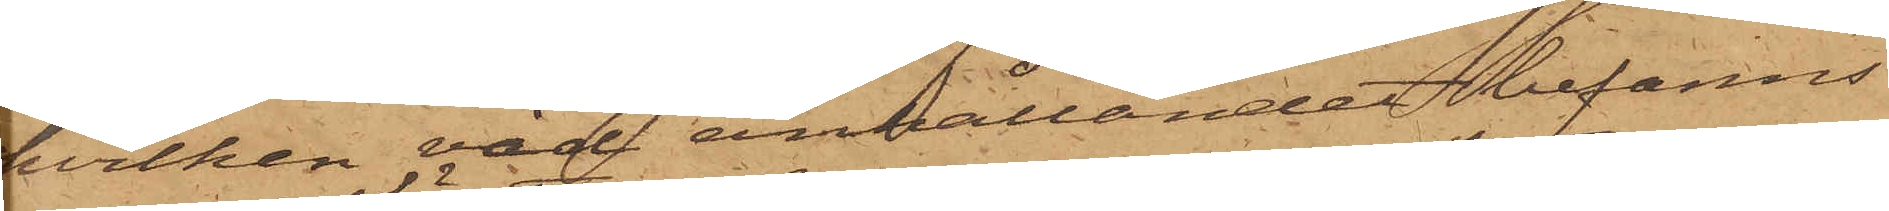hvilken vid anhållandet befanns
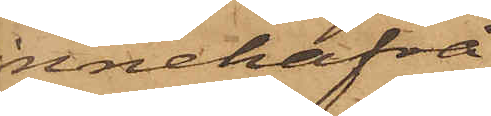innehafva
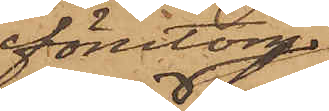förutom
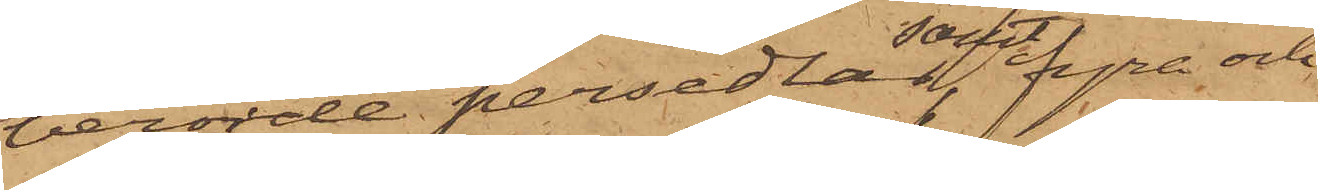berörde persedlar samt fyra och
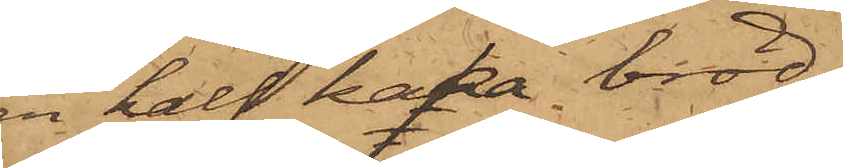en half kaka bröd
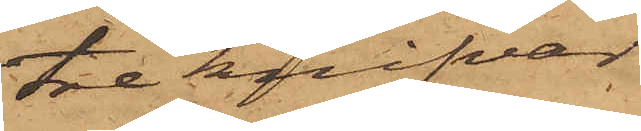tre knifvar
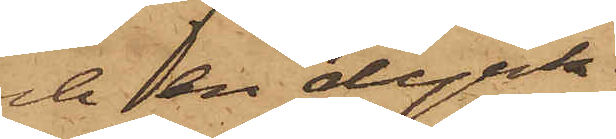och en dyrk.
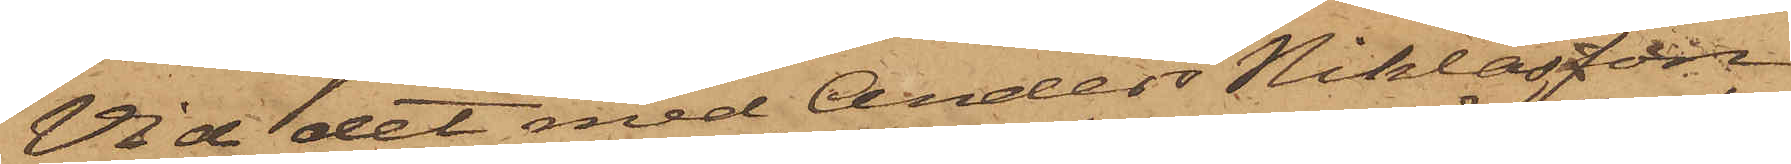Vid det med Anders Niklasson
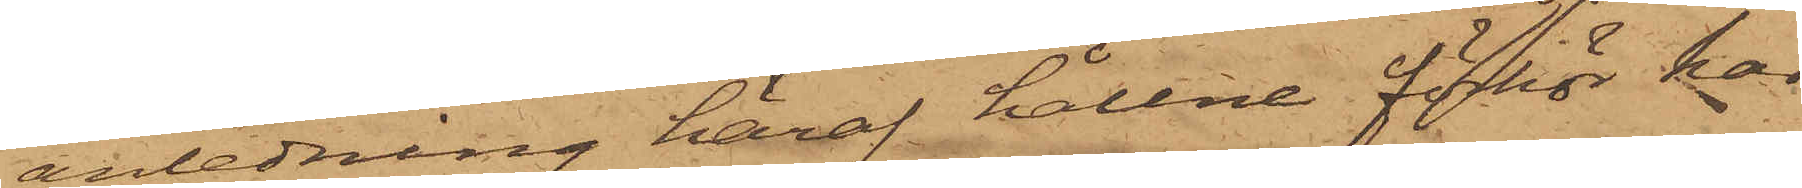i anledning häraf hållne förhör har
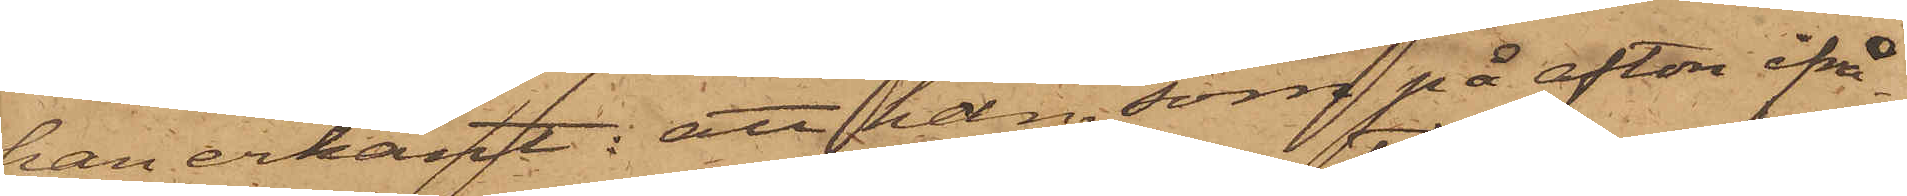han erkänt: att han, som på afton ifrå¬
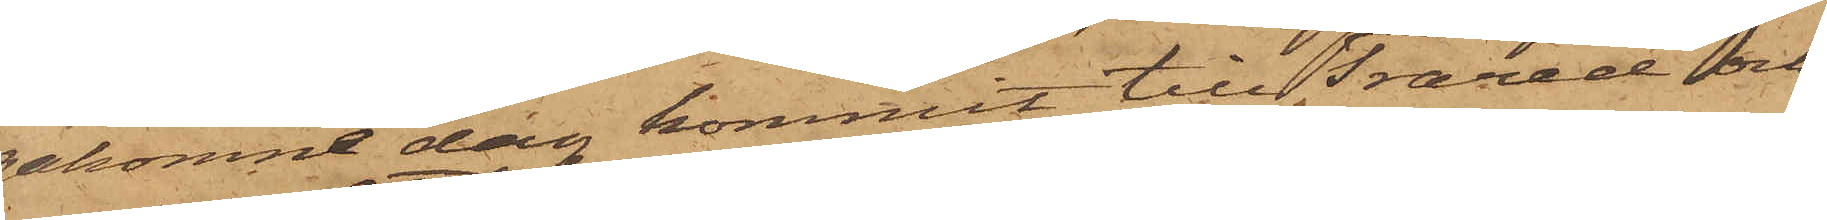gakomne dag kommit till Trared och
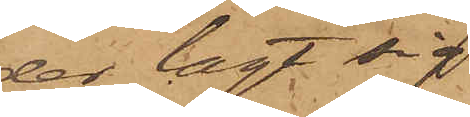der lagt sig
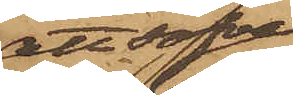att sofva
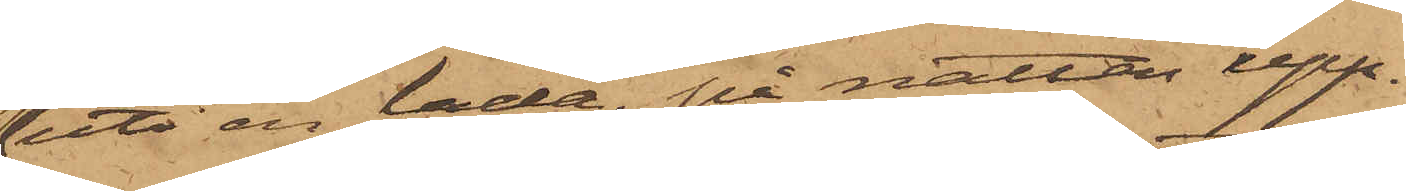uti en lada, på natten upp¬
